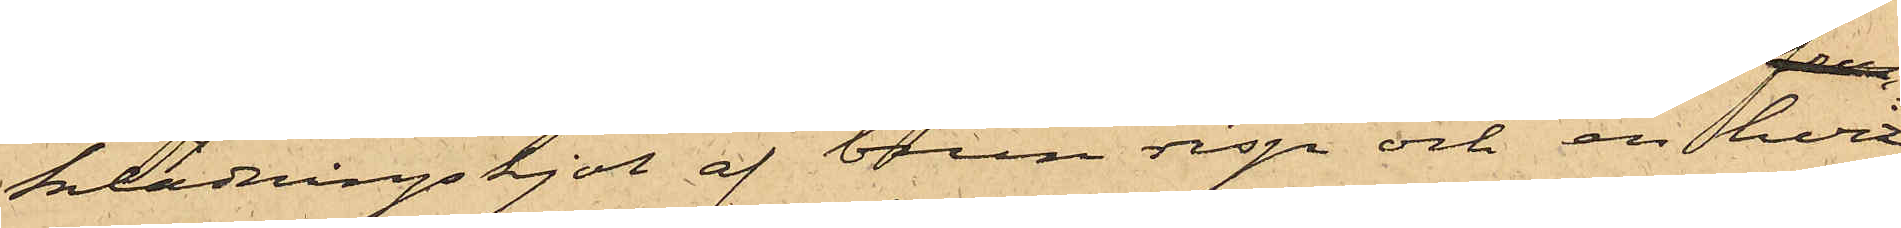klädningskjol af brun risp och en hvit
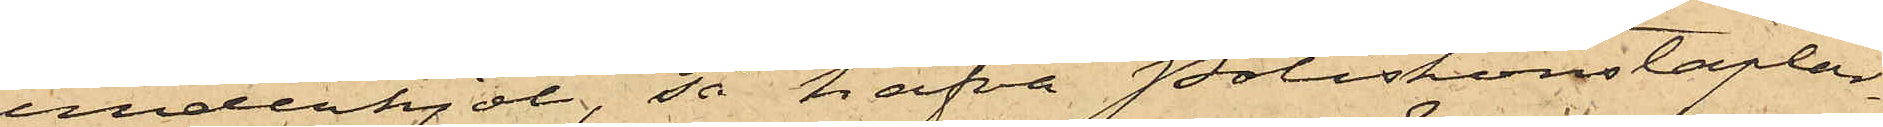underkjol, så hafva Poliskonstaplar¬
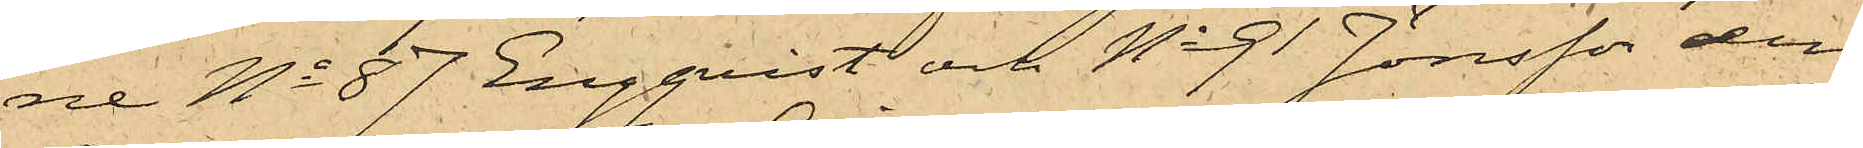ne No 87 Engqvist och No 91 Jönsson den
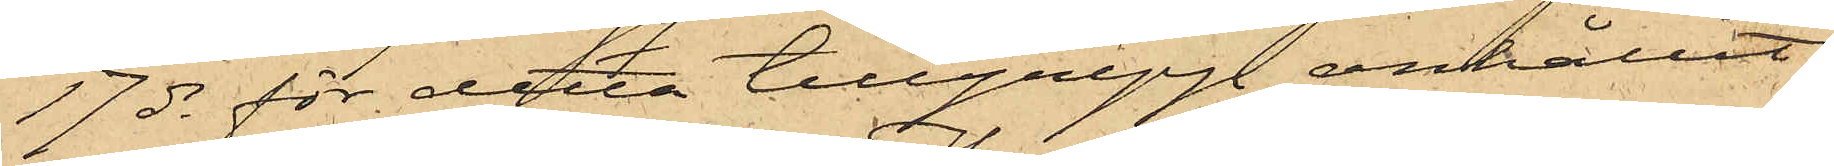17 ds för detta tillgrepp anhållit
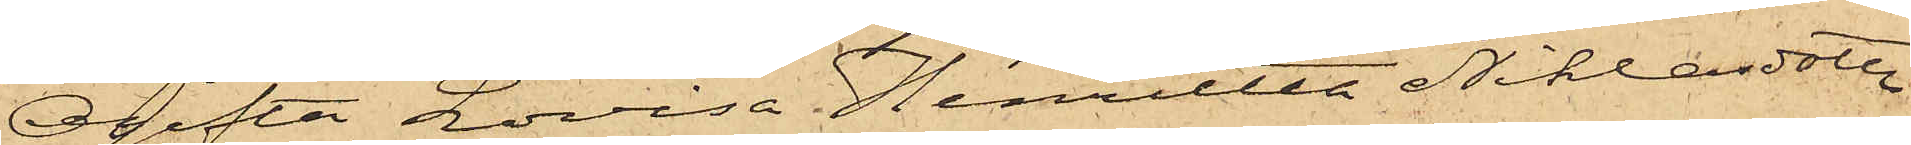Ogifta Lovisa Henrietta Niklasdotter
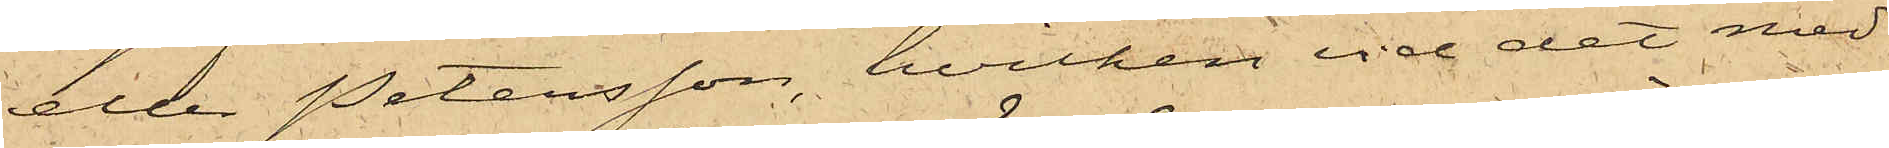eller Petersson, hvilken vid det med
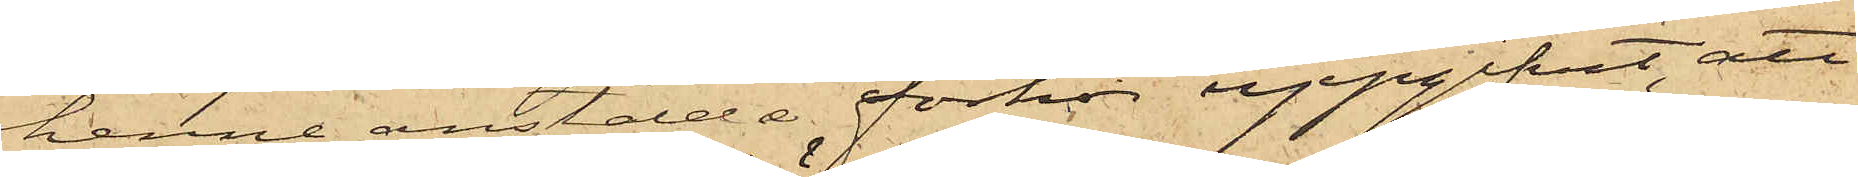henne anstälda förhör uppgifvit, att
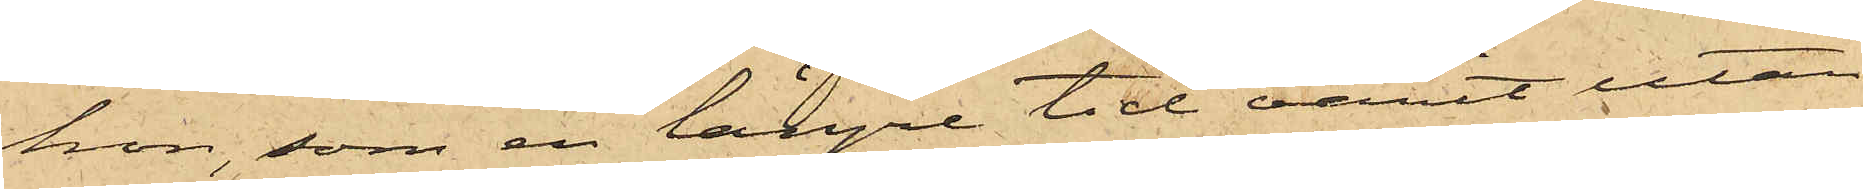hon, som en längre tid varit utan
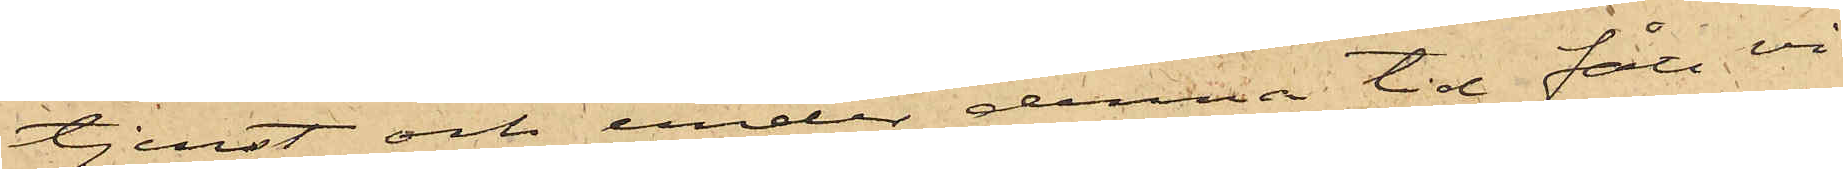tjenst och under denna tid fått vi¬
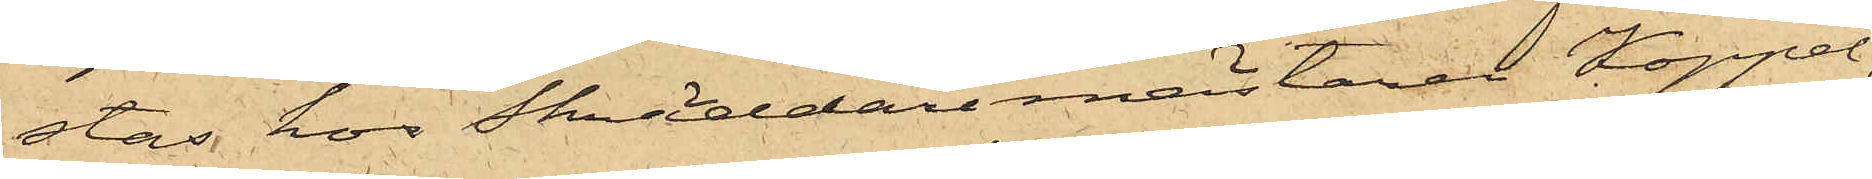stas hos Skräddaremästaren Koppel,
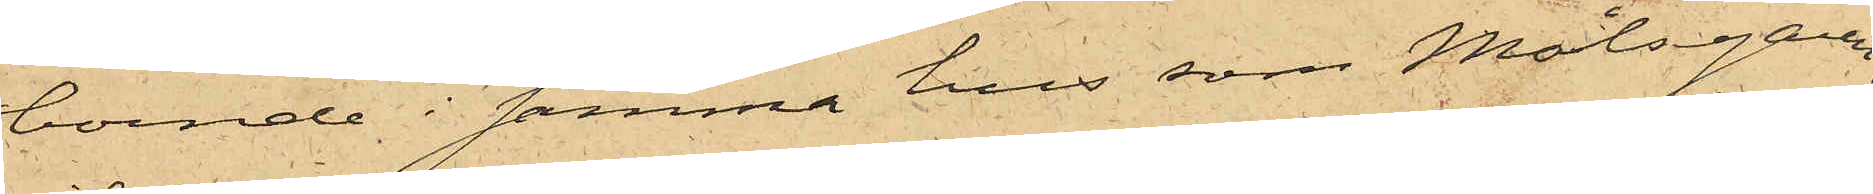boende i samma hus som Målsegaren,
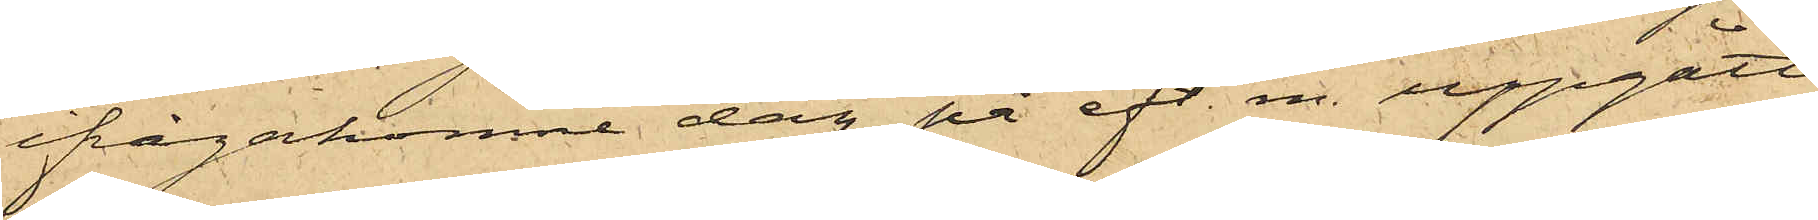ifrågakomne dag på eft. m. uppgått
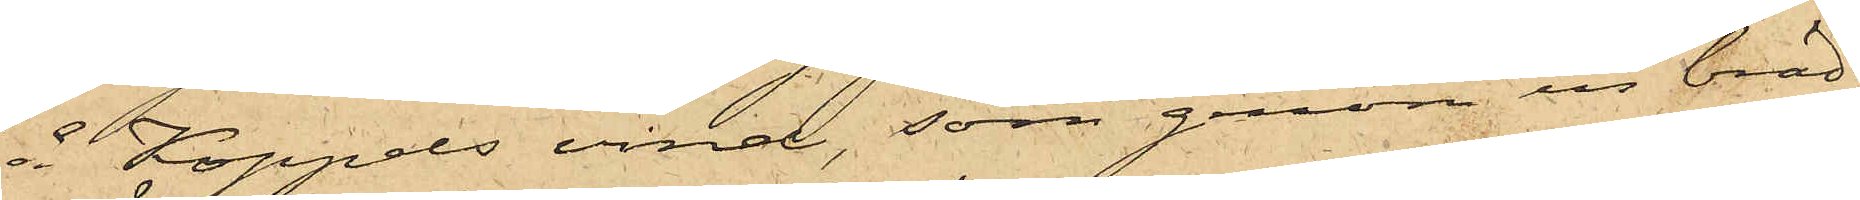å Koppels vind, som genom en bräd¬
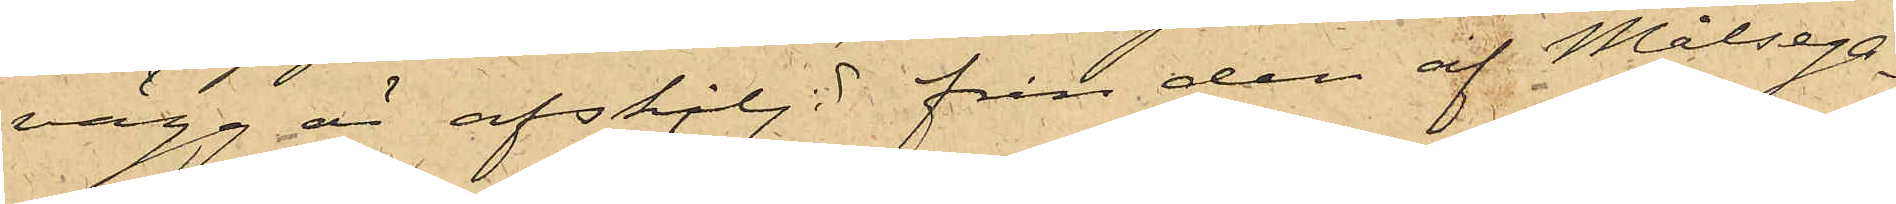vägg är afskiljd från den af Målsega¬
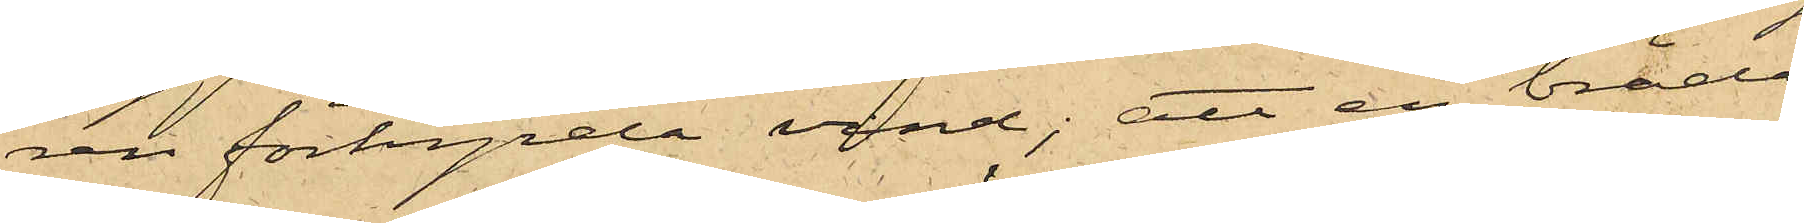ren förhyrda vind; att en bräda
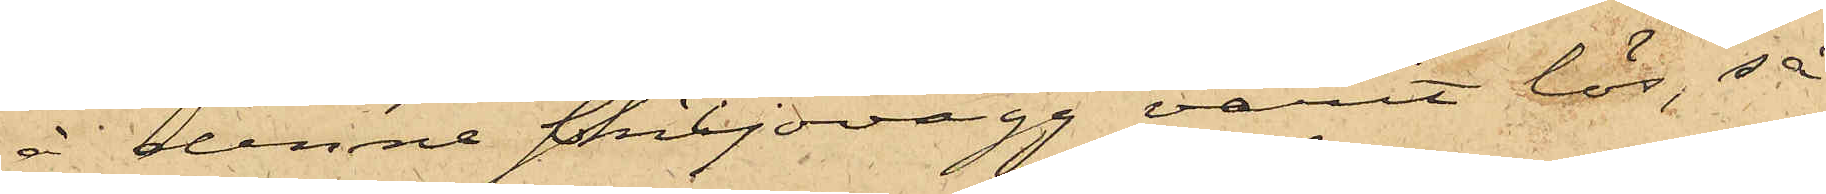å denna skiljevägg varit lös, så
